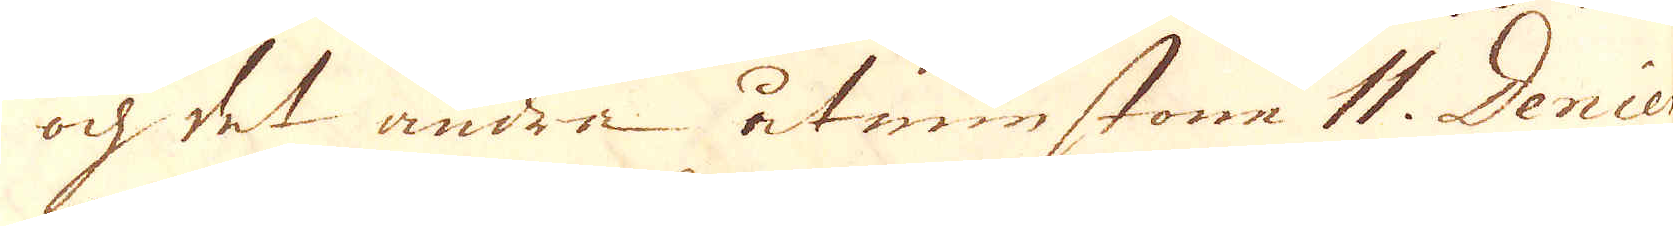och det andra åtminstone 11. Denier
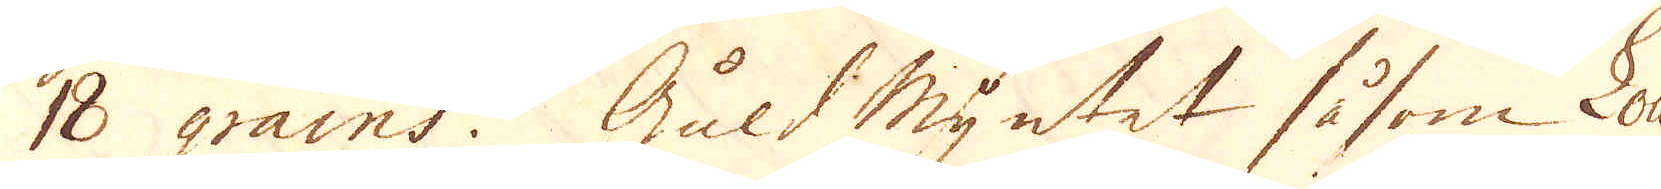18 grains. Guld Myntet såsom Louis
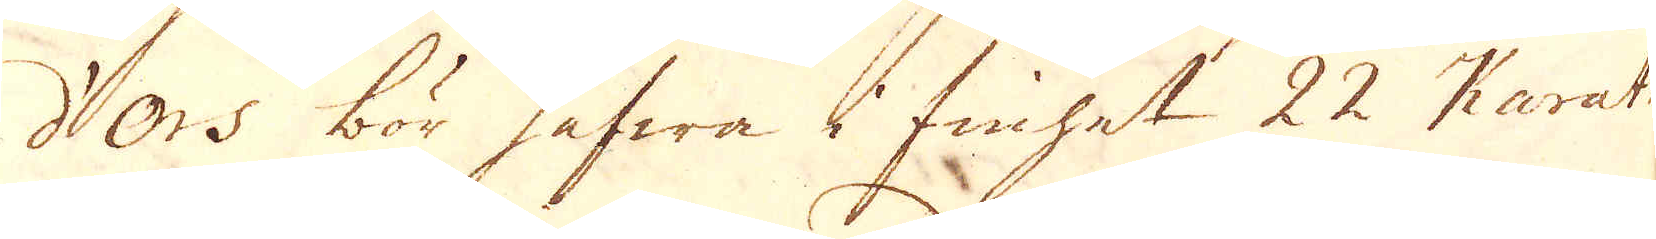d'Ors bör hafwa i finhet 22 Karath
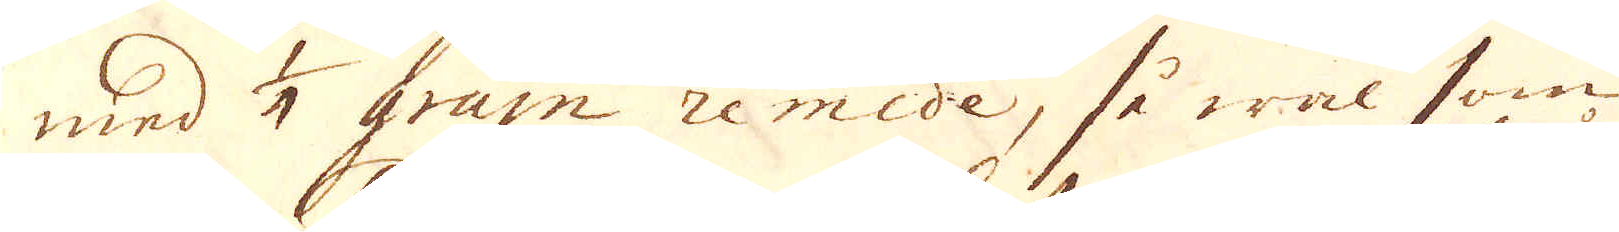med 1/4 grain remide, så wäl som
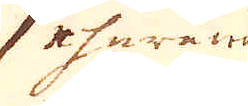ehuruwäl
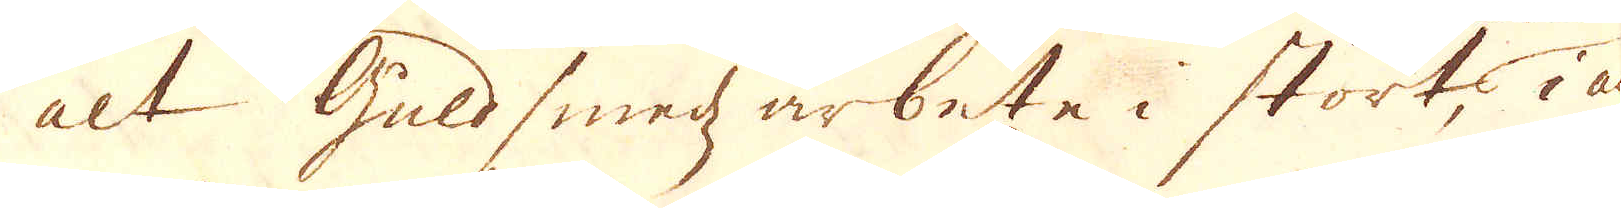alt Guld smedz arbete i stort, i an-
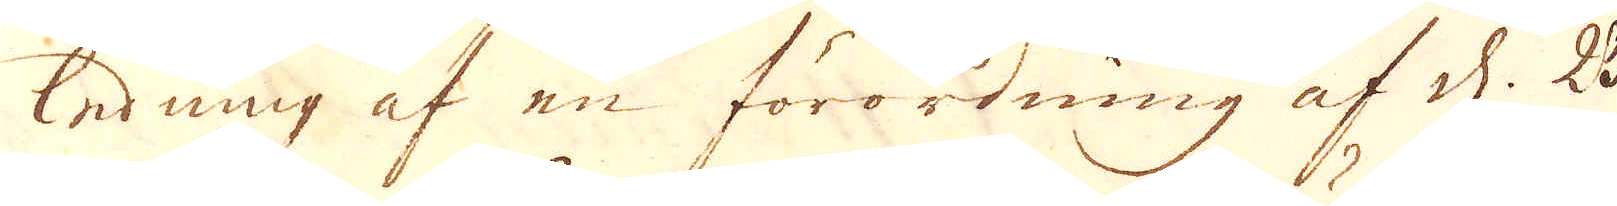ledning af en förordning af d. 23
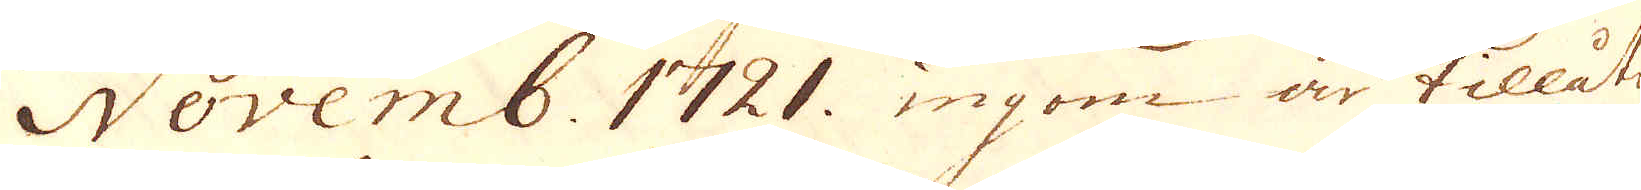Novemb. 1721 ingom är tillåtit
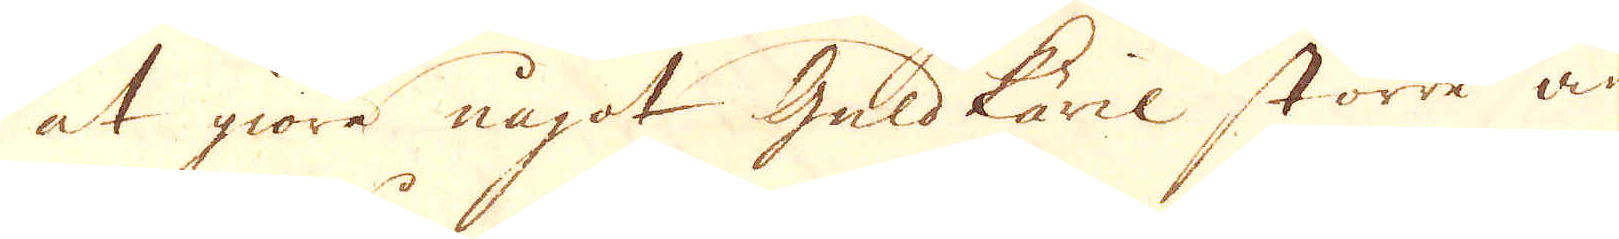at göra något guldkäril större än
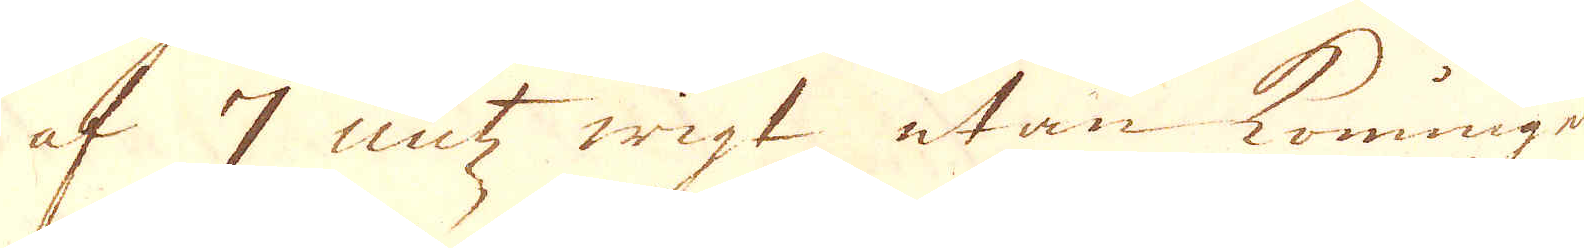af 7 untz wigt utan konungens
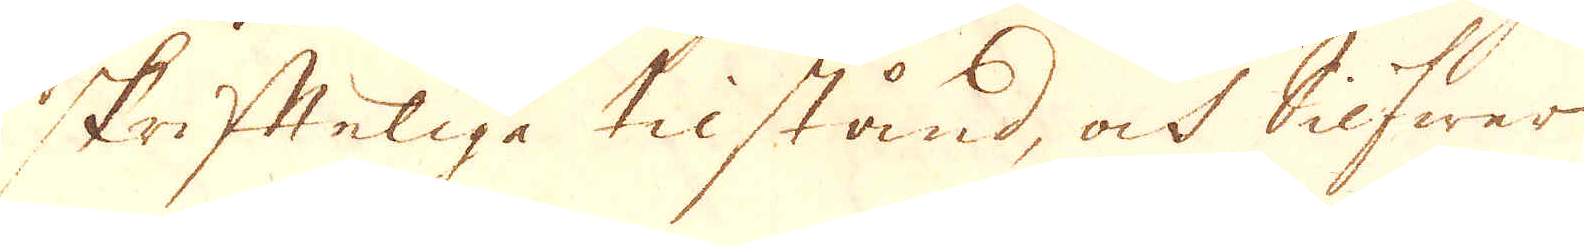skriftelige tilstånd, ock Silfwer
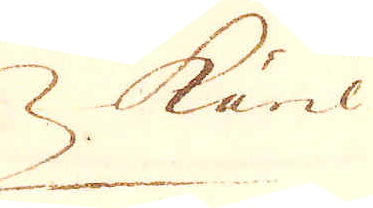käril
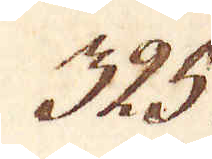325.
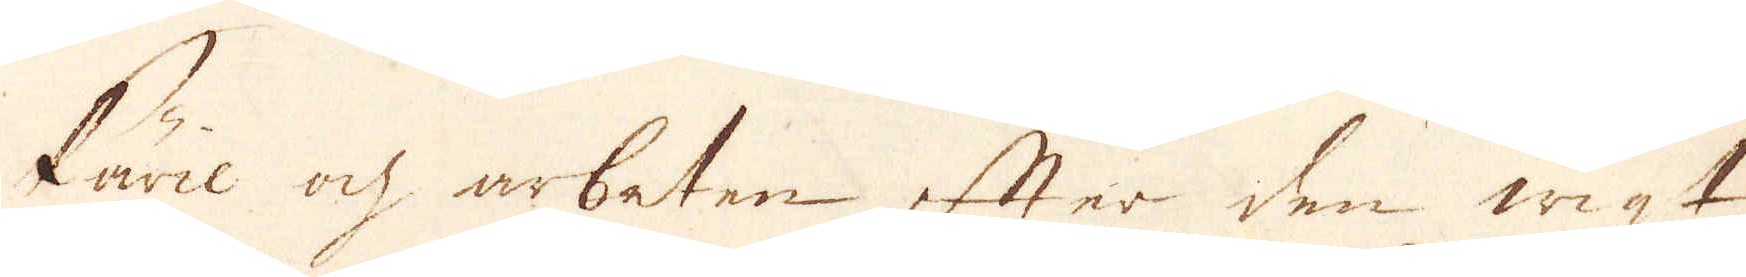käril ok arbeten efter den wigt
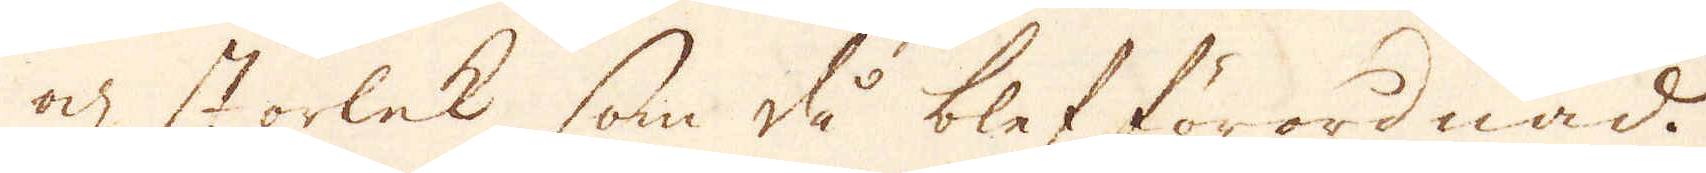och storlek som då blef förordnad.
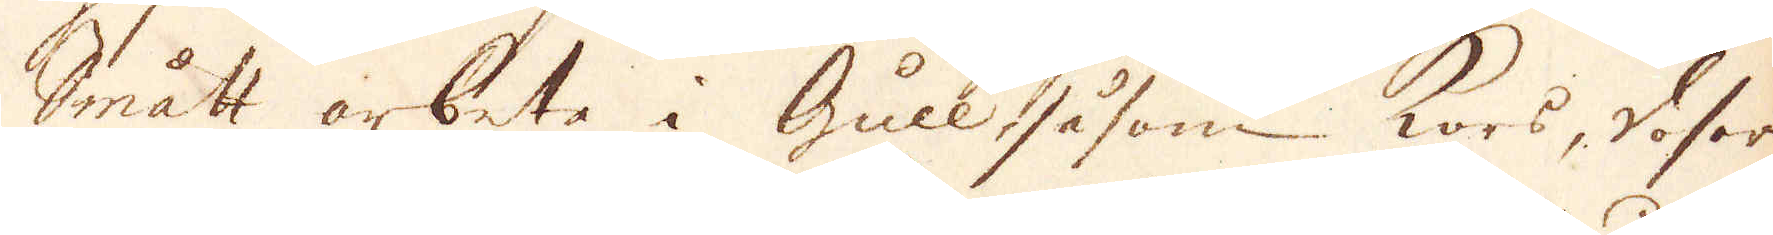Smått arbete i Gull såsom Kors, Vaser,
